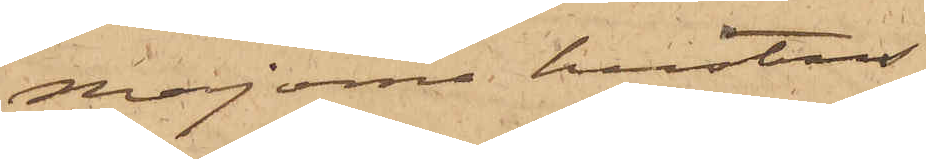Majorna hustrus
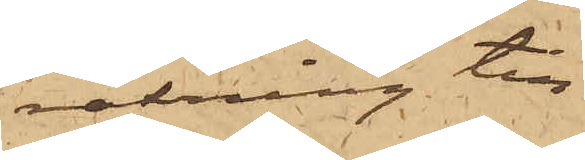räkning till
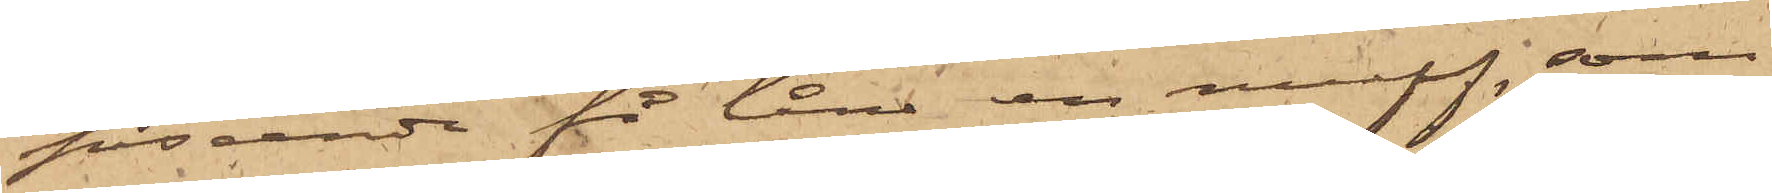påseende få låna en muff, som
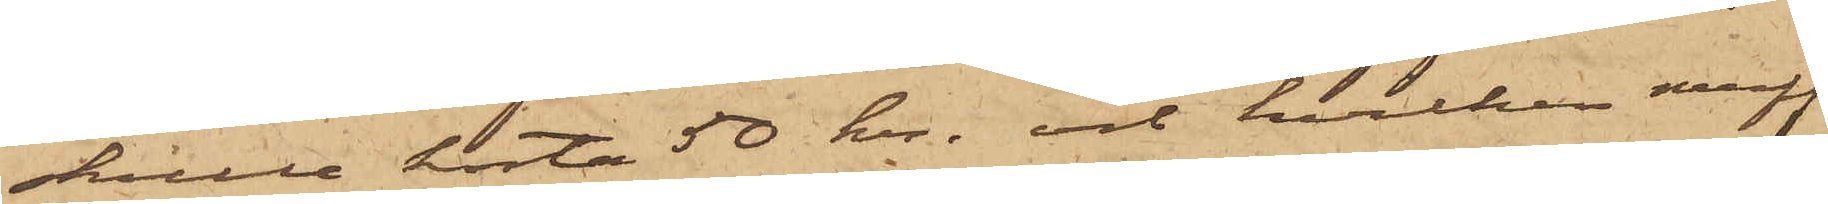skulle kosta 50 kr. och hvilken muff
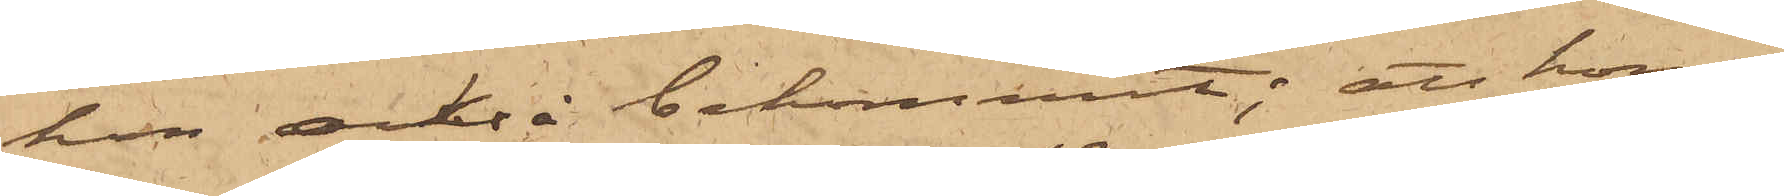hon också bekommit; att hon i
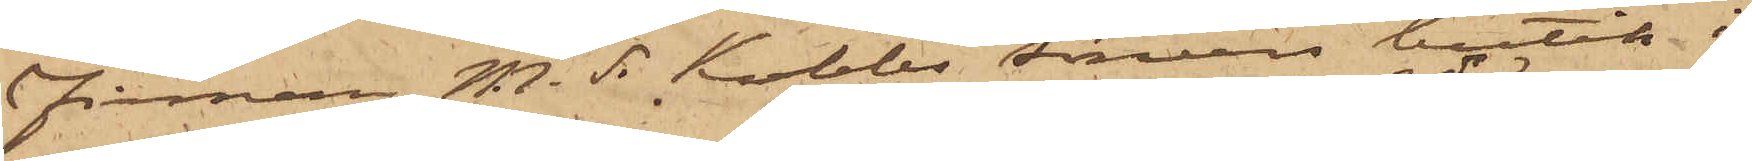Firman M. S. Kobbs Söners butik i
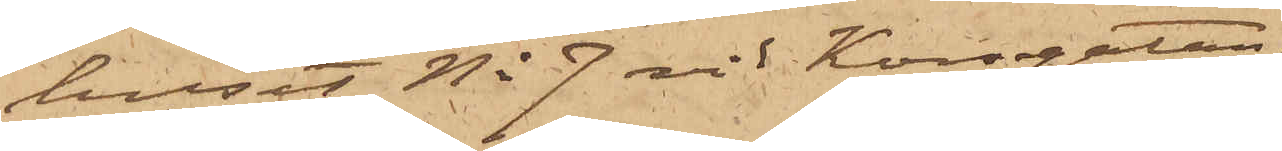huset No 7 vid Korsgatan,
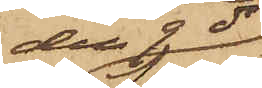den 9 ds
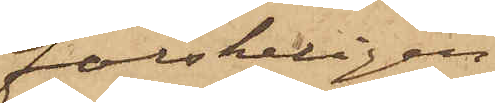falskeligen
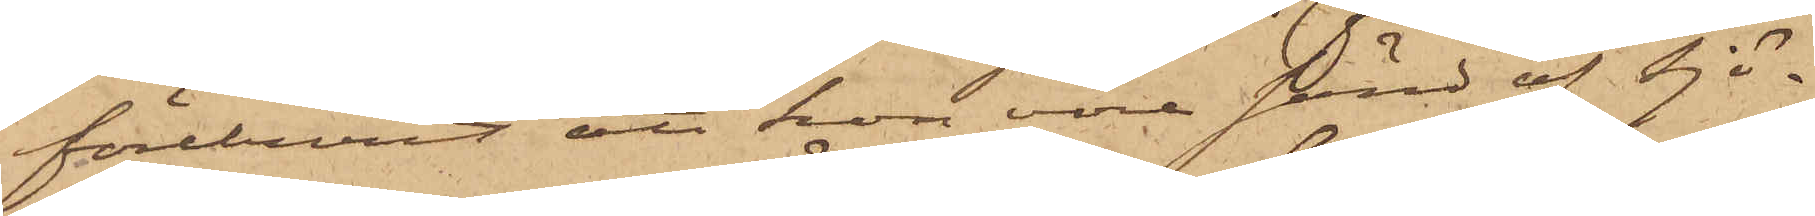föreburit att hon vore sänd af Sjö¬
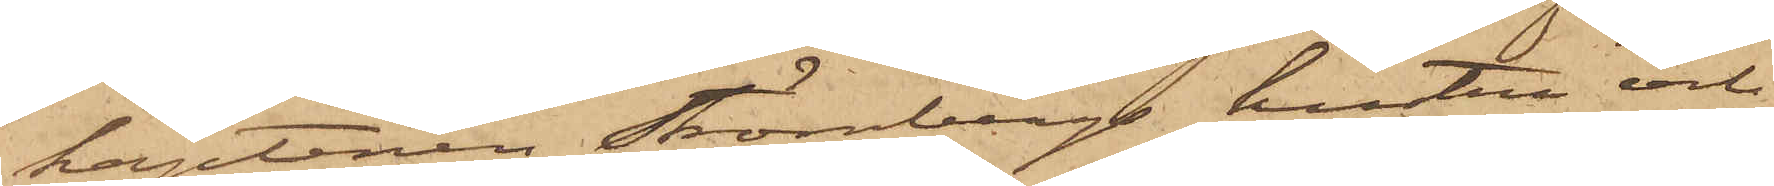kaptenen Strömbergs hustru och
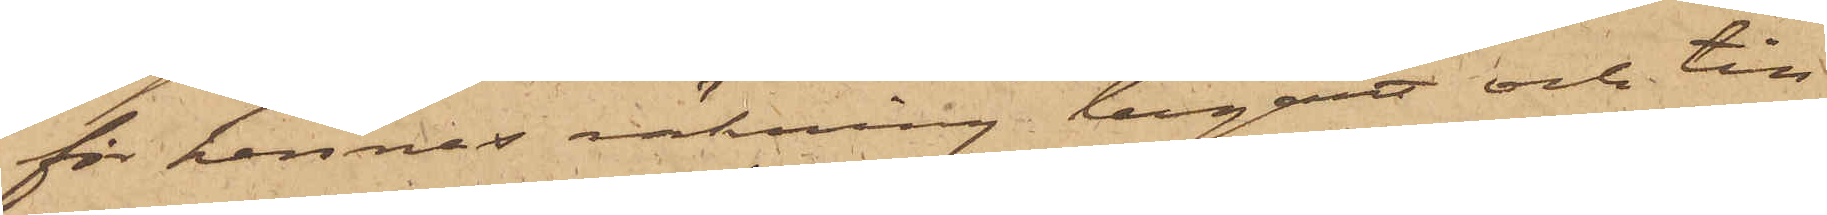för hennes räkning begärt och till
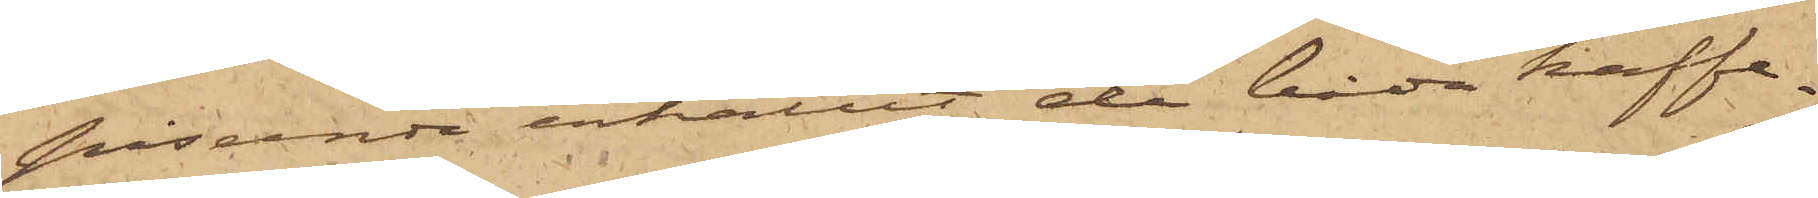påseende erhållit de båda kaffe¬
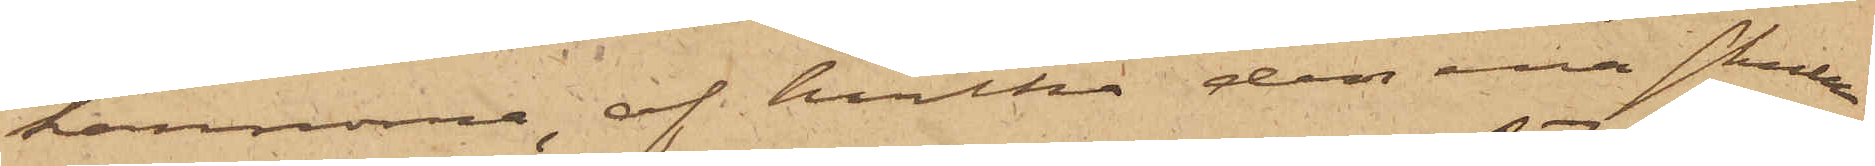kannorna, af hvilka den ena skulle
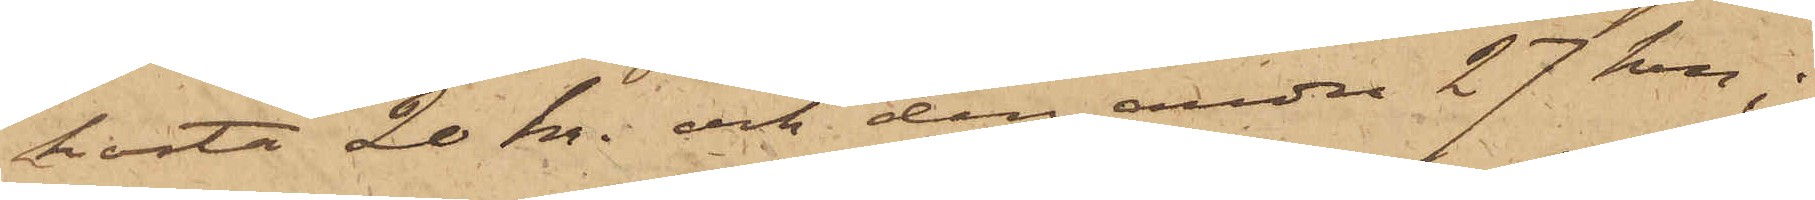kosta 20 kr. och den andra 27 kr;
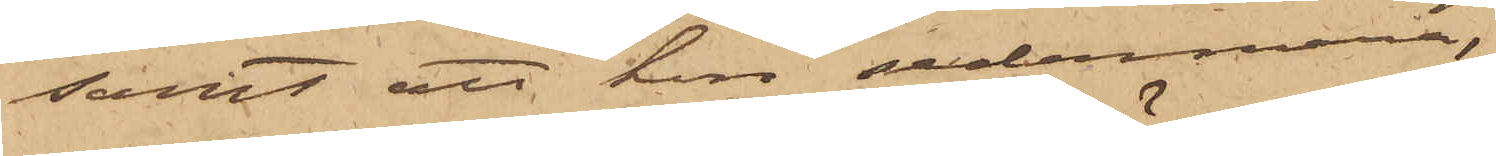samt att hon sedermera,
